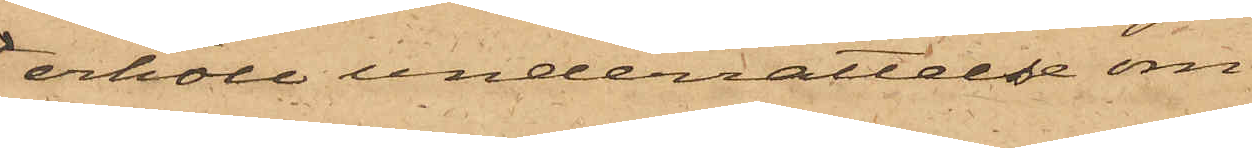erhöll underrättelse om
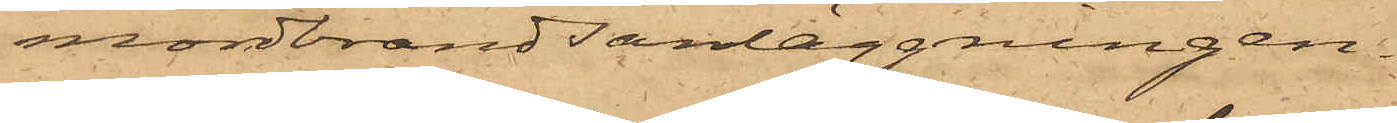mordbrandsanläggningen.
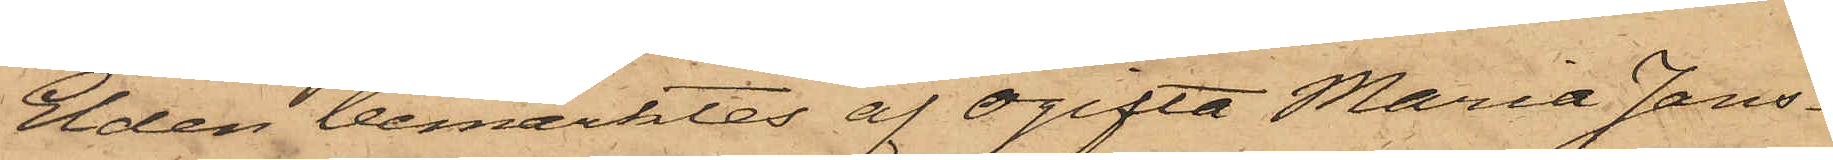Elden bemärktes af Ogifta Maria Jans¬
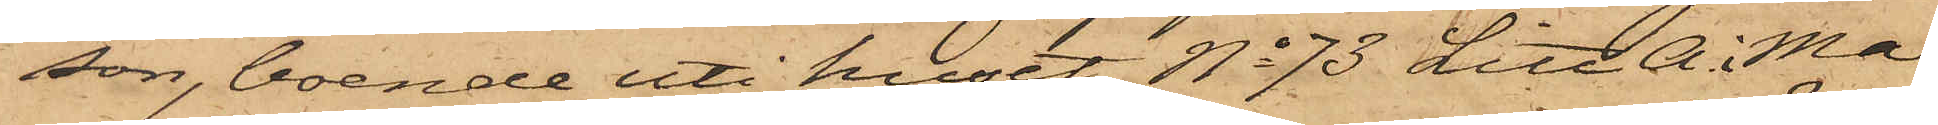son, boende uti huset No 73 Litt A. i Ma¬
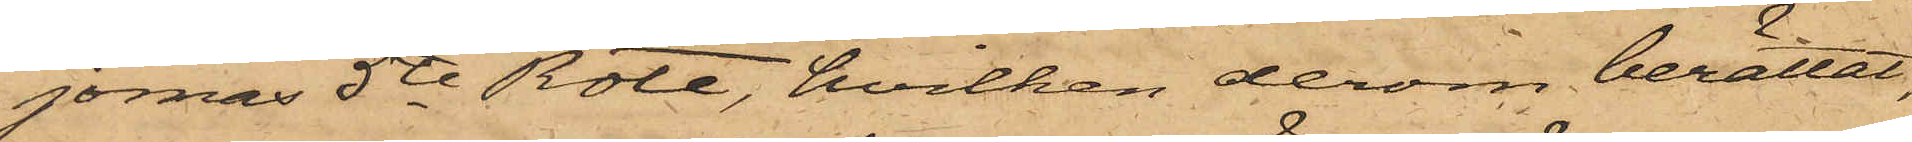jornas 5te Rote, hvilken derom berättat,
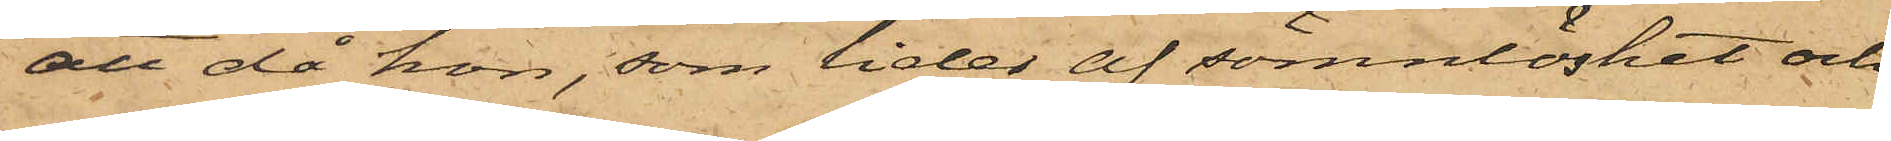att då hon, som lider af sömnlöshet och
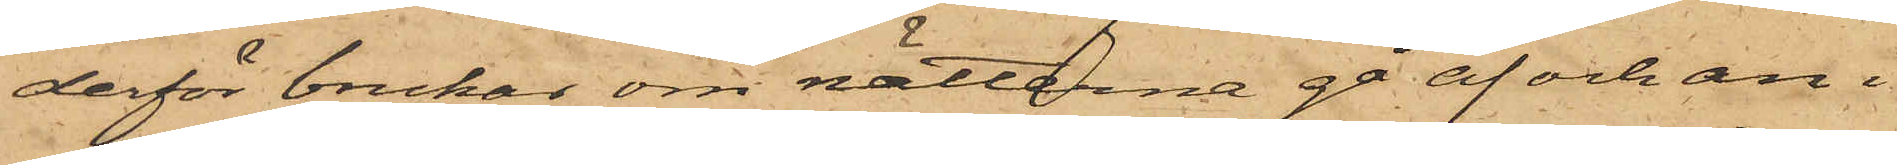derför brukar om nätterna gå af och an i
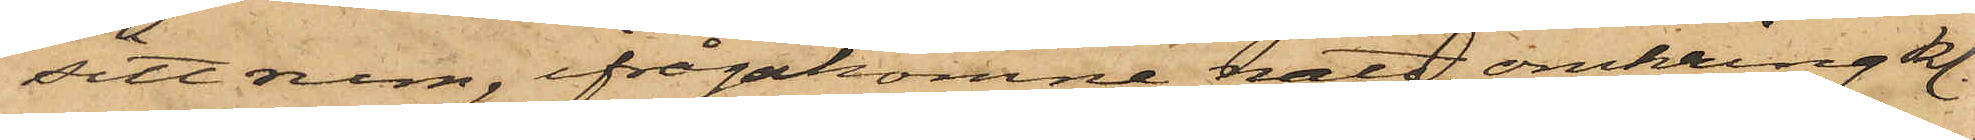sitt rum, ifrågakomne natt omkring kl.
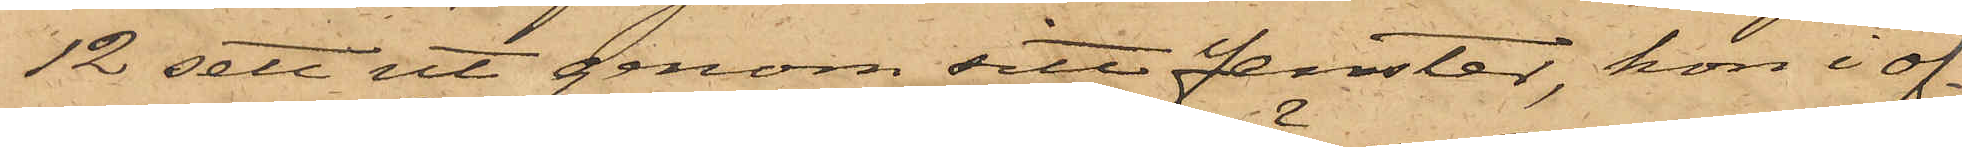12 sett ut genom sitt fenster, hon i of¬
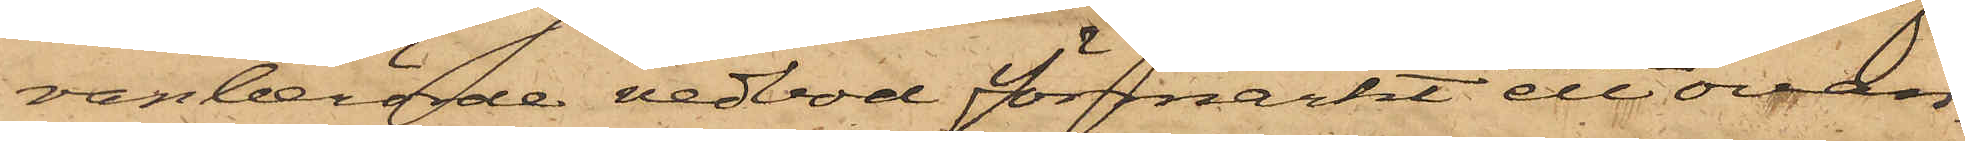vanberörde vedbod förmärkt ett ovan¬
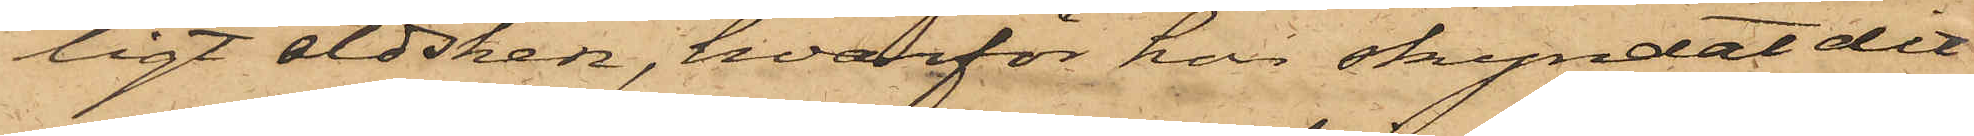ligt eldsken, hvarför hon skyndat dit
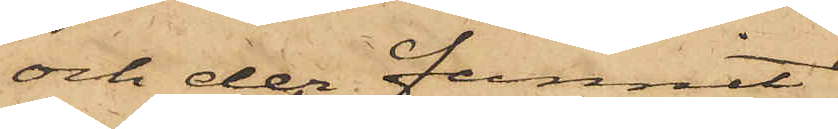och der funnit
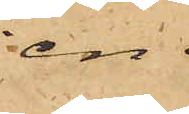en
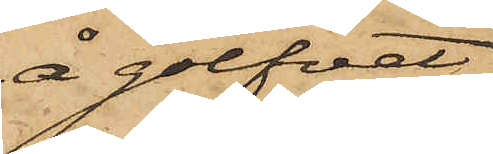å golfvet
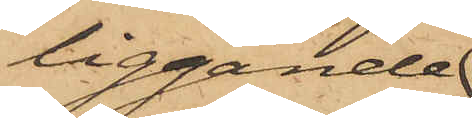liggande
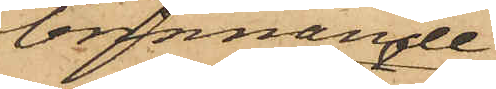brinnande
